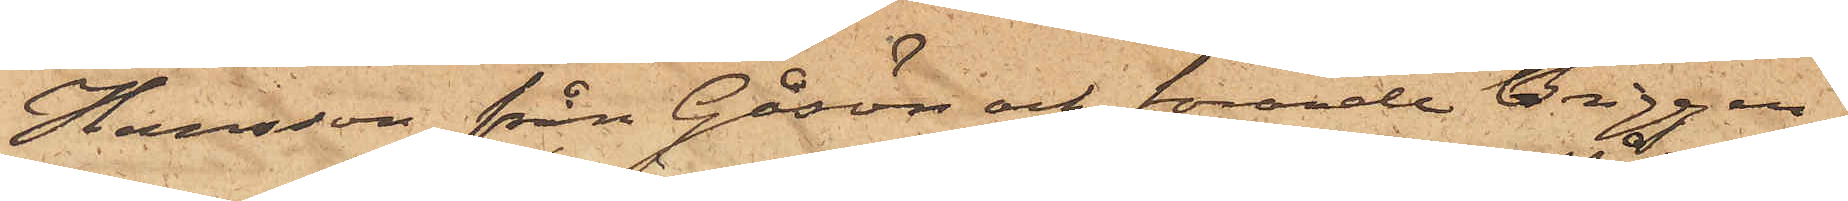Hansson från Gåsön och förande briggen
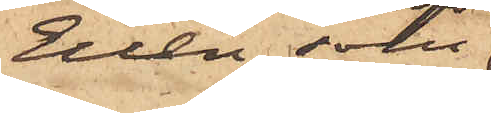Ellen, som 
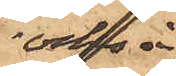också
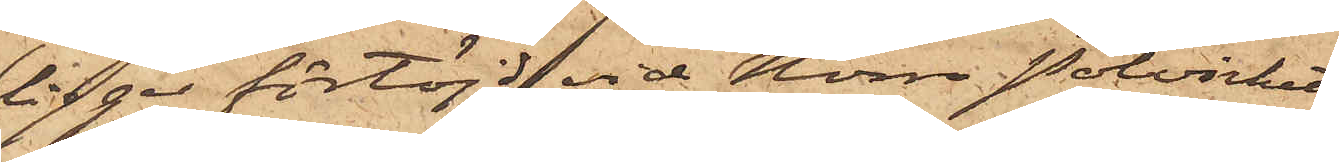ligger förtöjd vid Norra Pålverket,
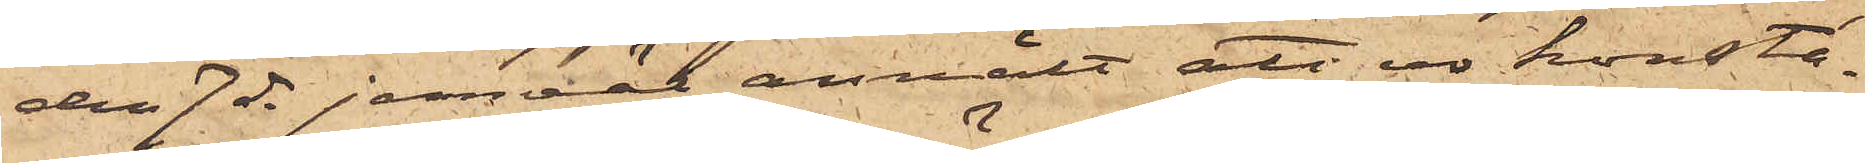den 7 ds jemväl anmält att ur konsta¬
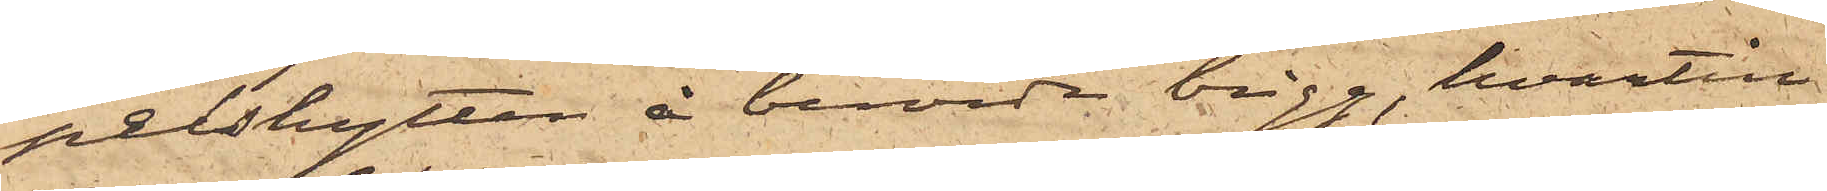pelshytten å berörde brigg, hvartill
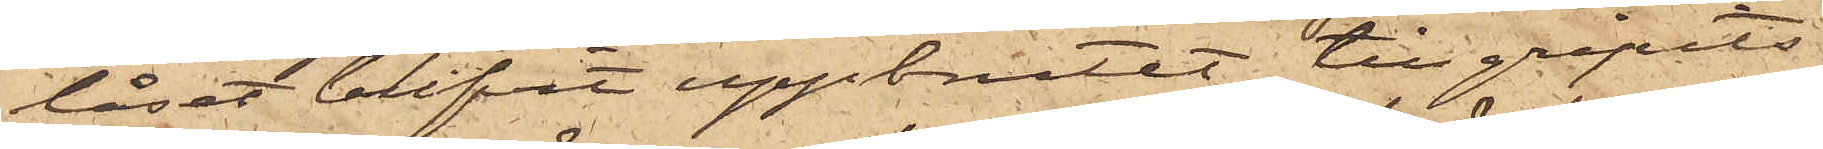låset blifvit uppbrutet, tillgripits
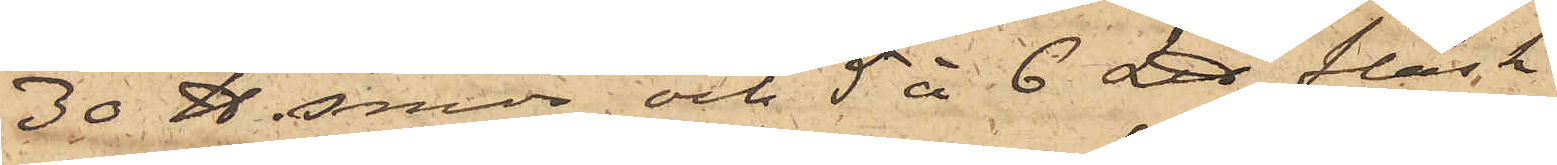30 ℔ smör och 5 à 6 L℔ fläsk
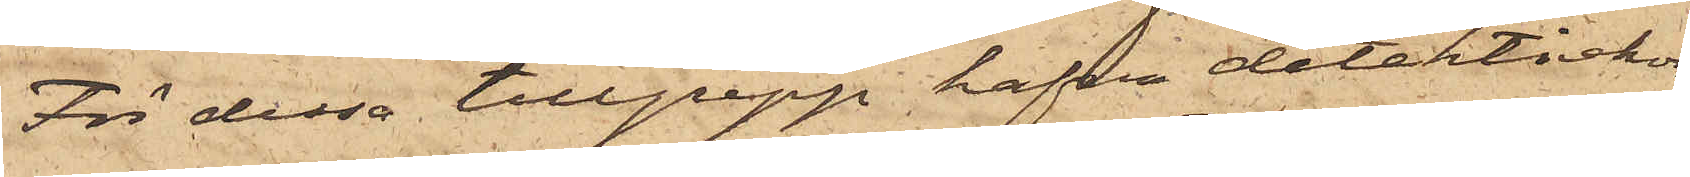För dessa tillgrepp hafva detektivkon¬
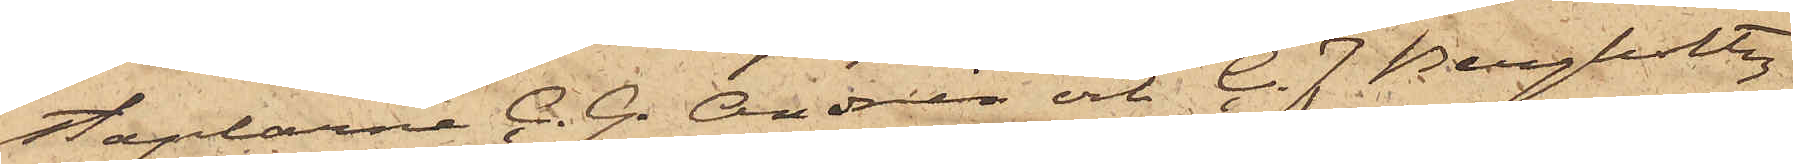staplarne C. G. Andrén och C. J. Bergholtz
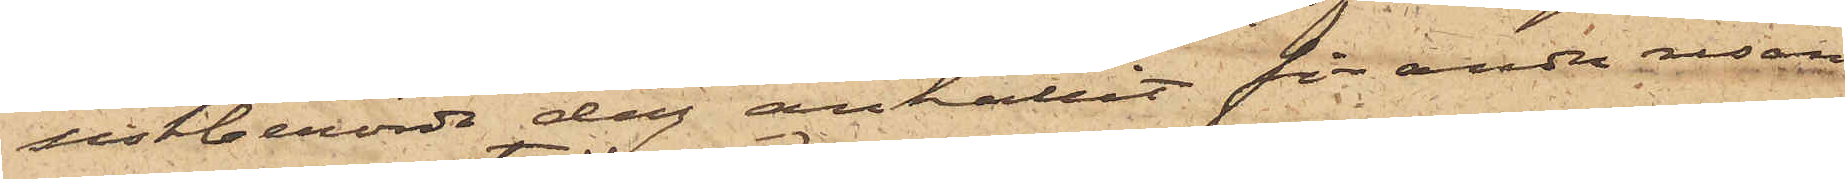sistberörde dag anhållit för andra resan
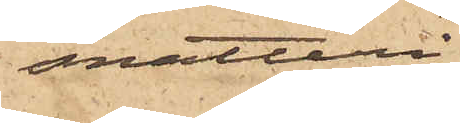snatteri
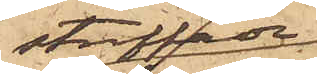straffade
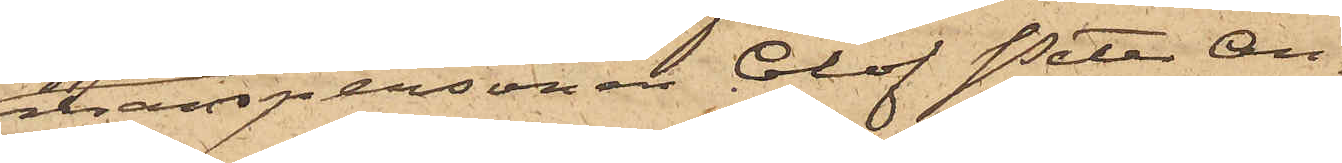manspersonen Olof Peter An¬
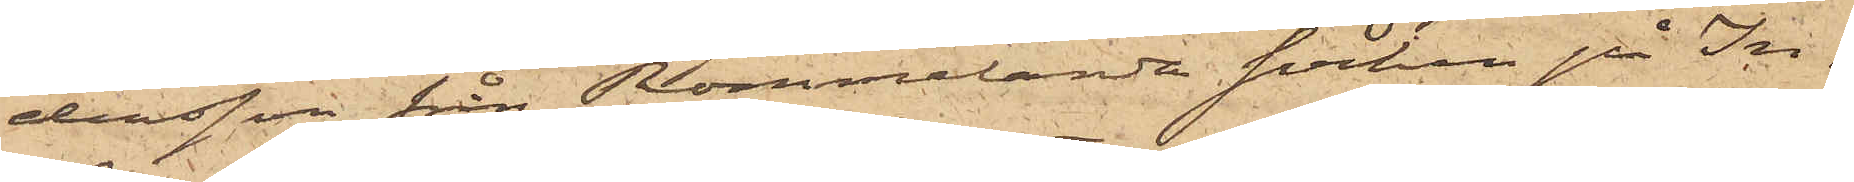dersson från Rommelanda Socken på In¬
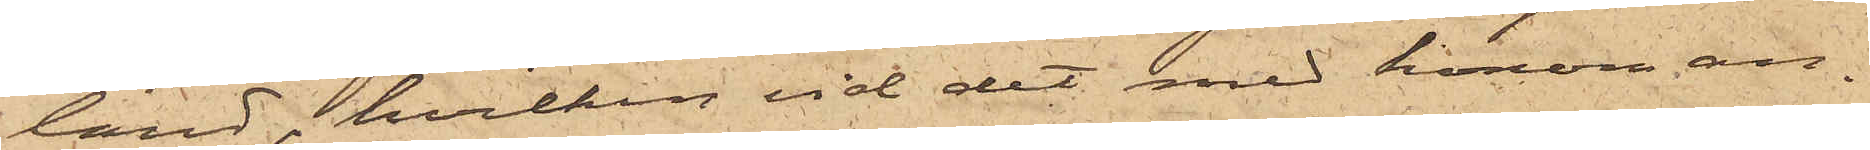land, hvilken vid det med honom an¬
